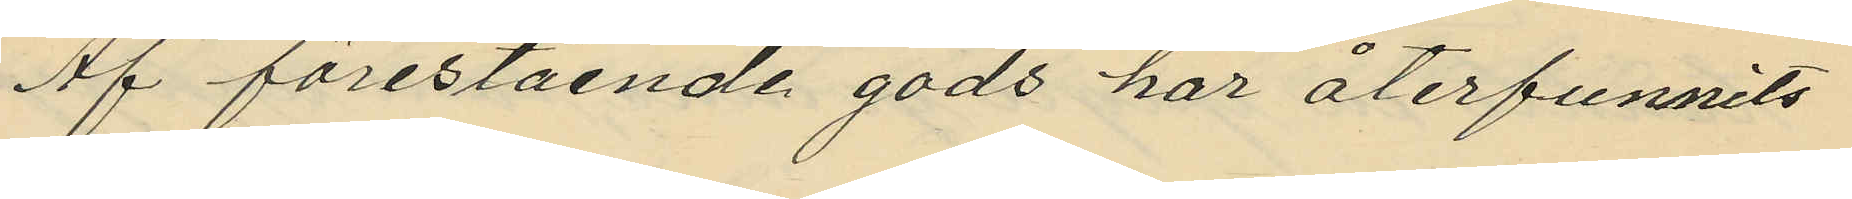Af förestående gods har återfunnits
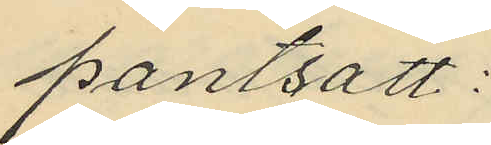pantsatt:
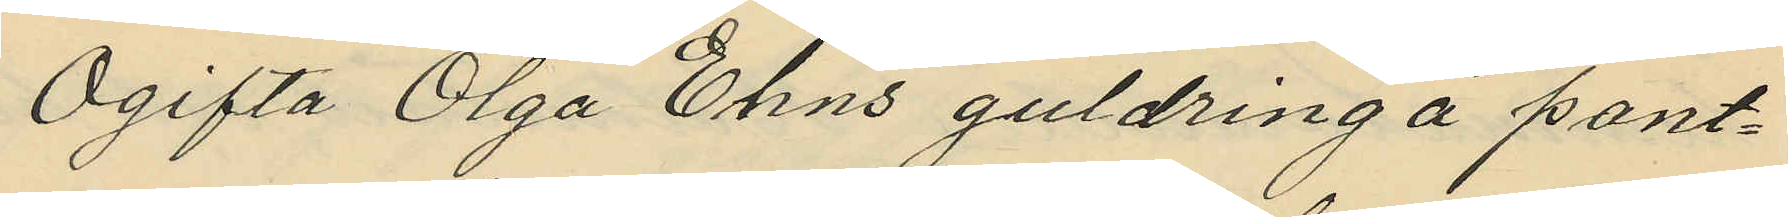Ogifta Olga Ehns guldring å pant¬
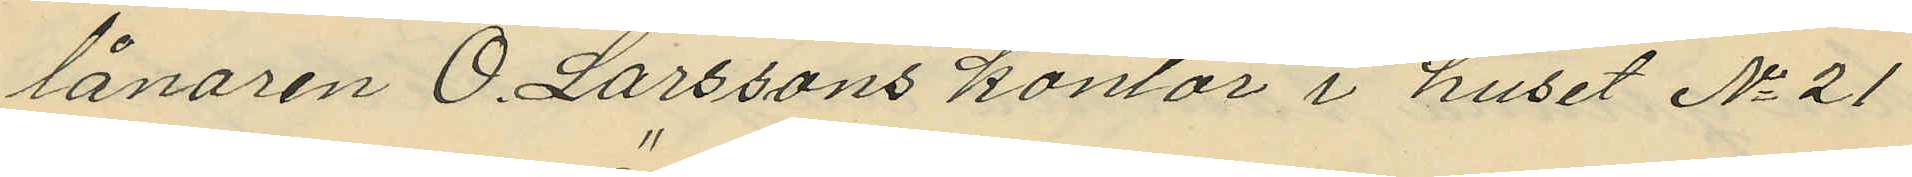lånaren O. Larssons kontor i huset No 21
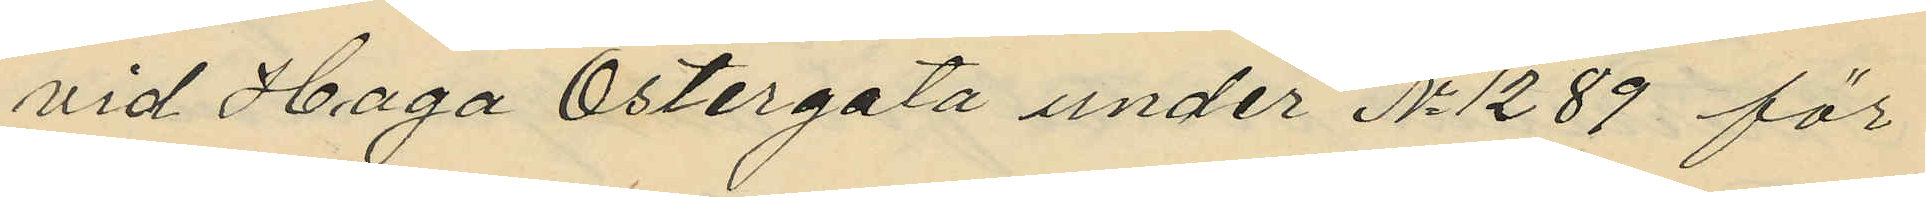vid Haga Östergata under No 1289 för
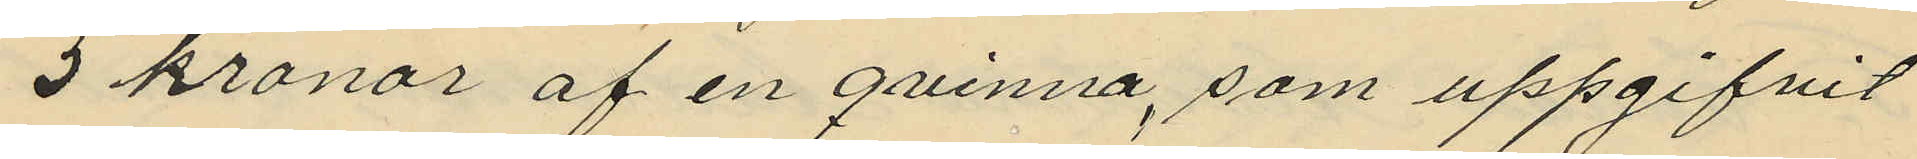5 kronor af en qvinna, som uppgifvit
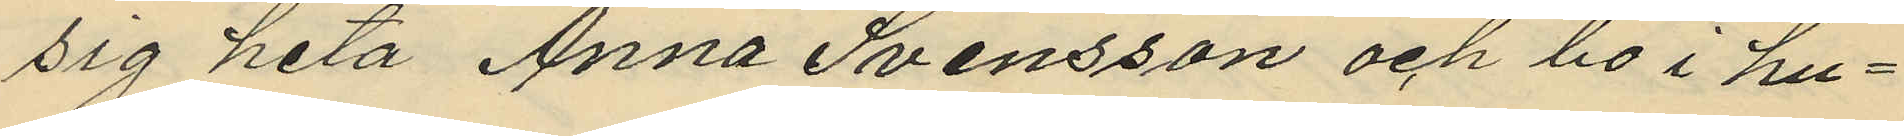sig heta Anna Svensson och bo i hu¬
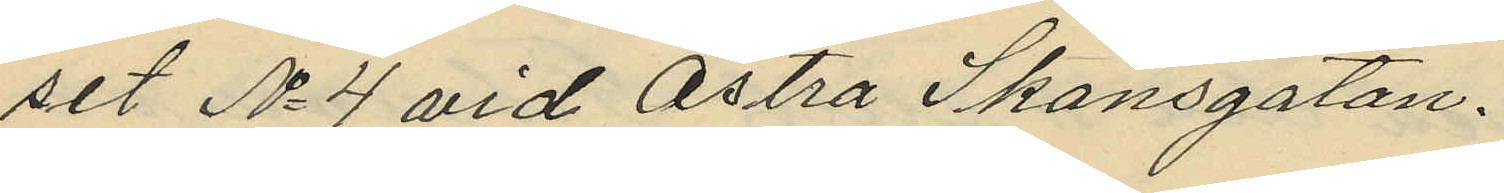set No 4 vid Östra Skansgatan.
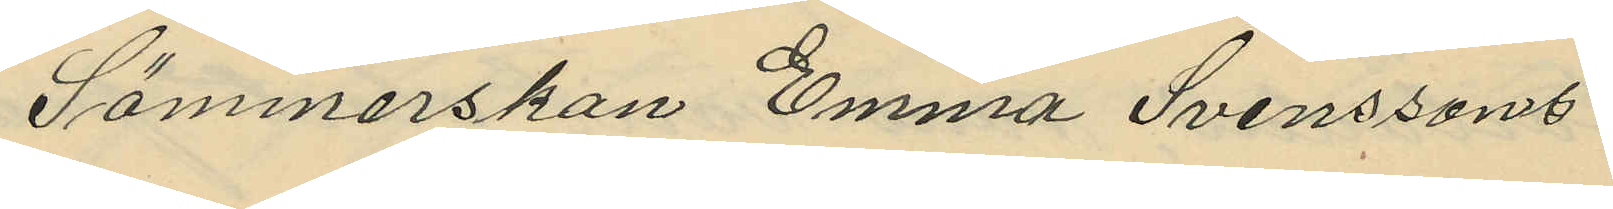Sömmerskan Emma Svenssons
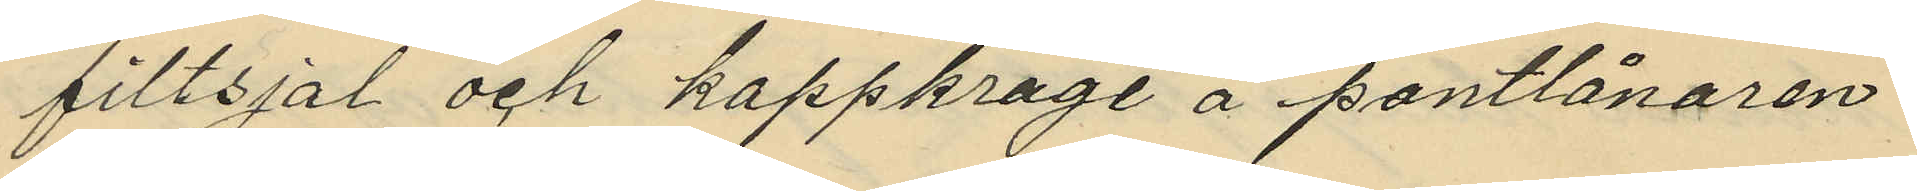filtsjal och kappkrage å pantlånaren
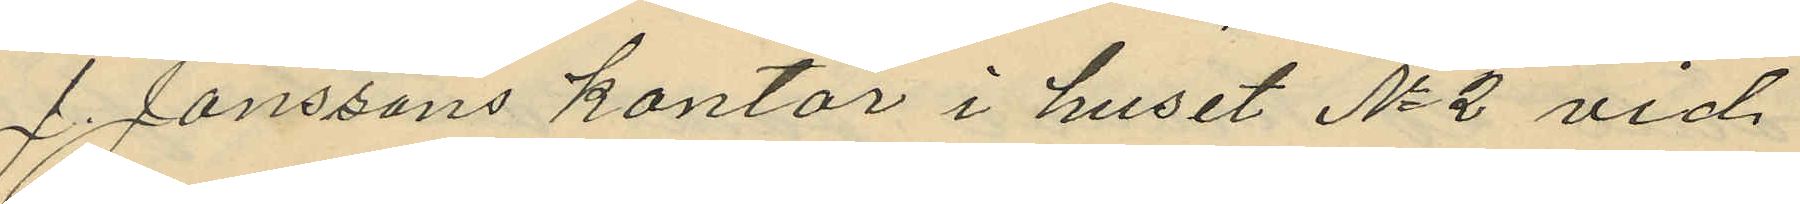J. Janssons kontor i huset No 2 vid
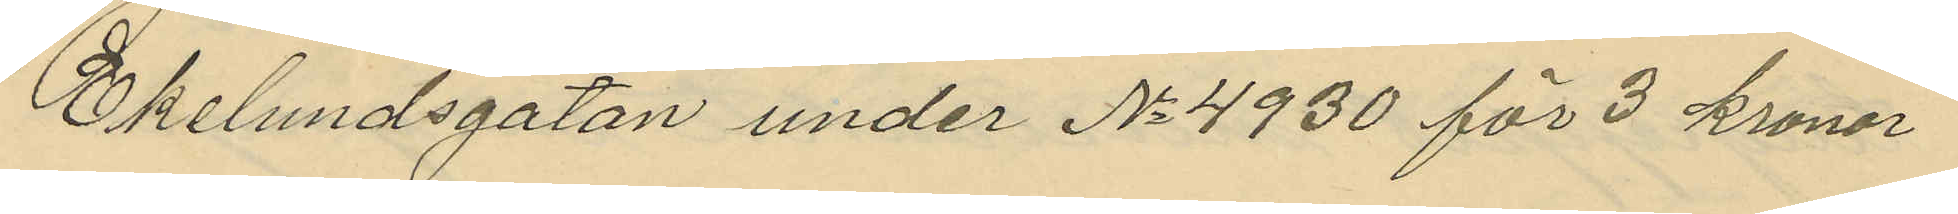Ekelundsgatan under No 4930 för 3 kronor
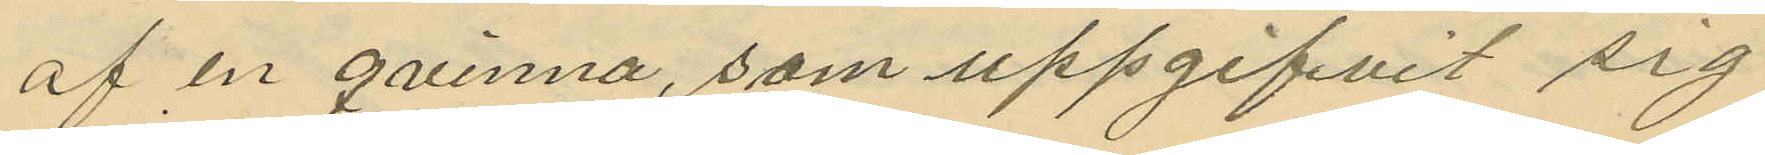af en qvinna, som uppgifvit sig
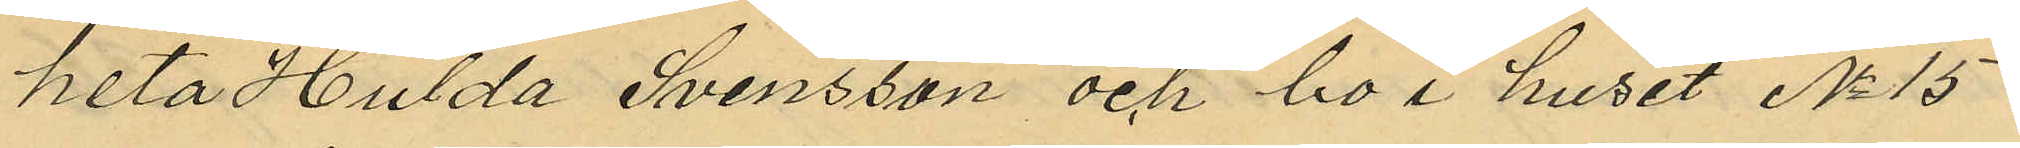heta Hulda Svensson och bo i huset No 15
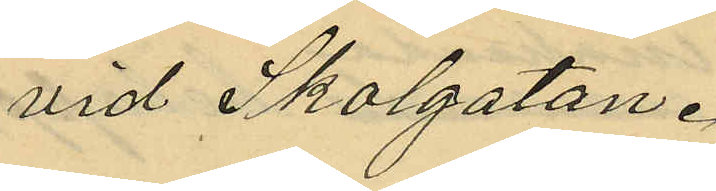vid Skolgatan.
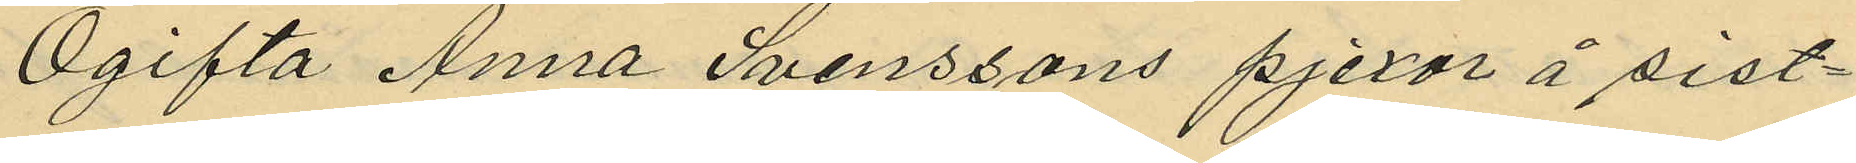Ogifta Anna Svenssons pjexor å sist¬
